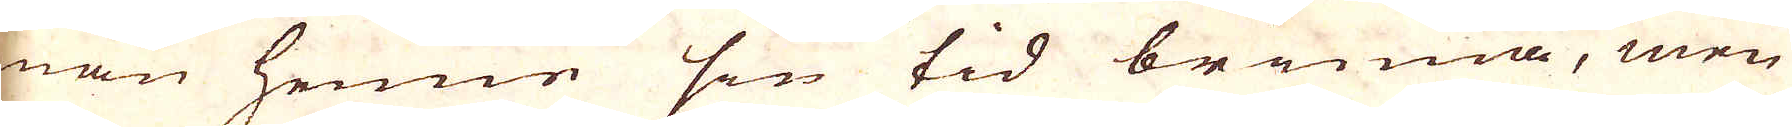man henne sin tid brinna, men
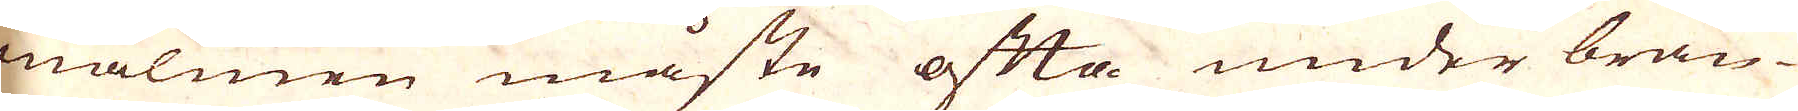malmen måste ofta under brän-
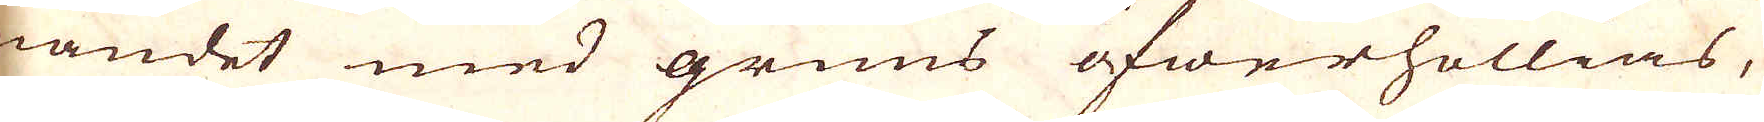nandet med gruus öfwerhällias,
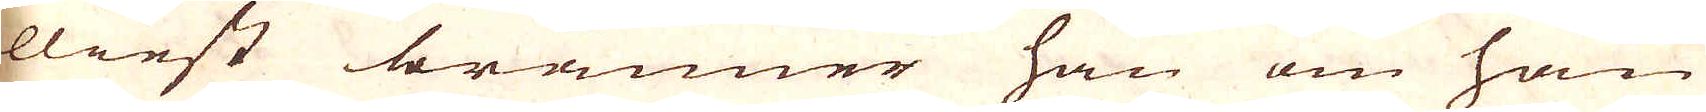elliest bränner han om han
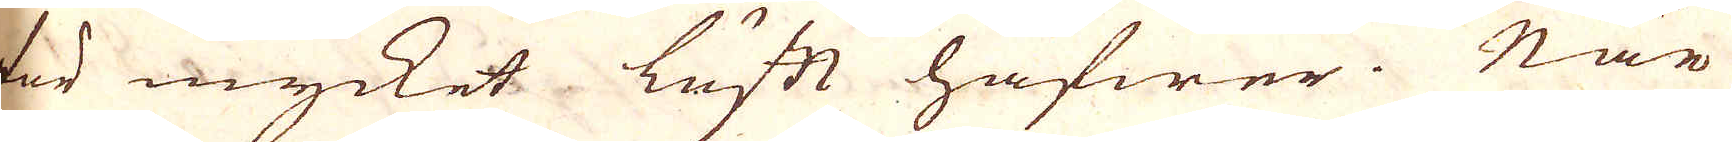för mycket luftt hafwer. När
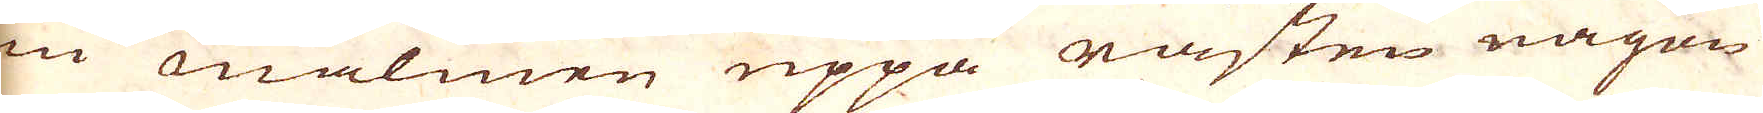nu malmen uppå råsten någon
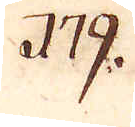179.
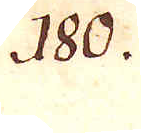180.
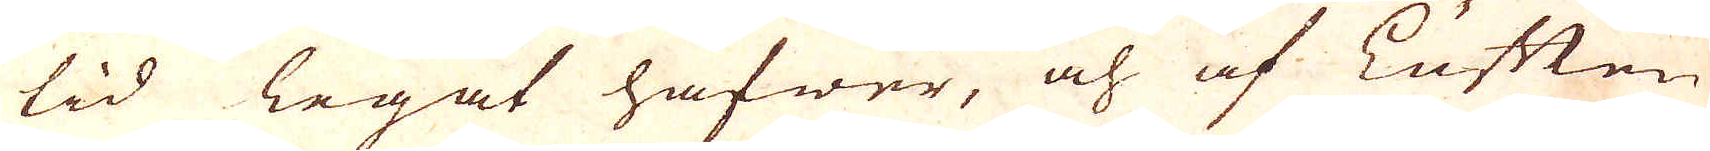tid legat hafwer, och af Luften
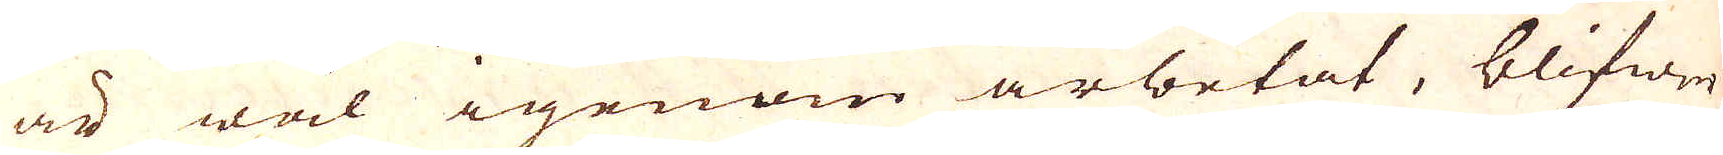är wäl igenom arbetat, blifwer
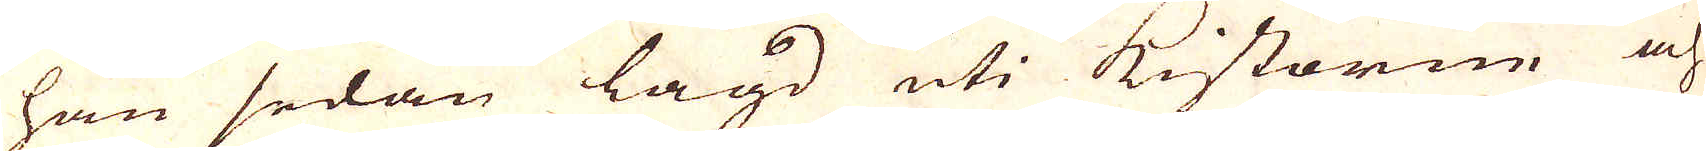han sedan lagd uti Kistorne och
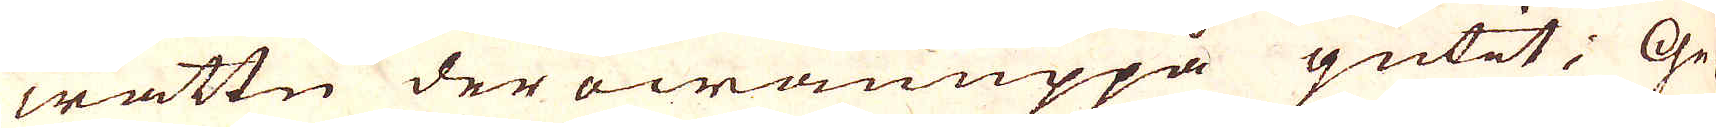wattn der owauppå gutit; Ge-
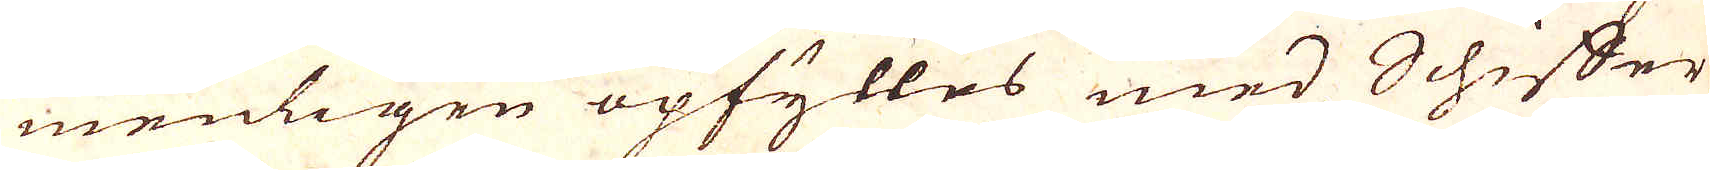menligen opfylles med Schiffer
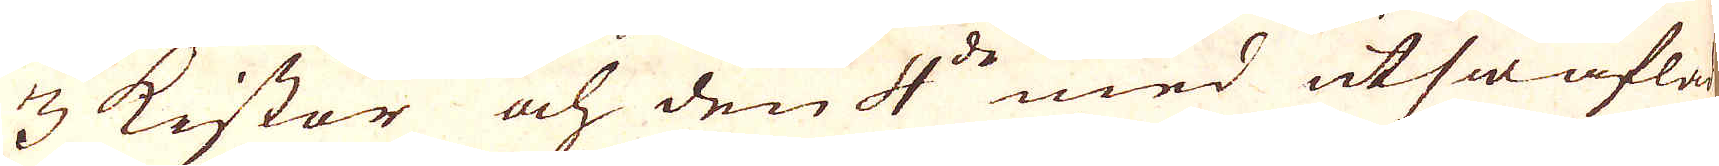3 kistor och den 4:de med utswaflad
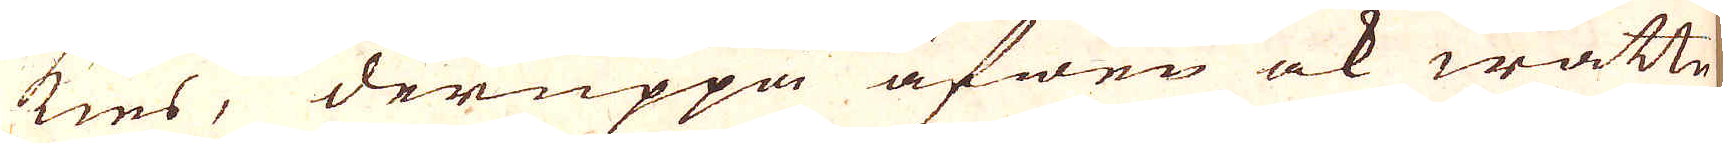kies, deruppå äfwen ock wattn
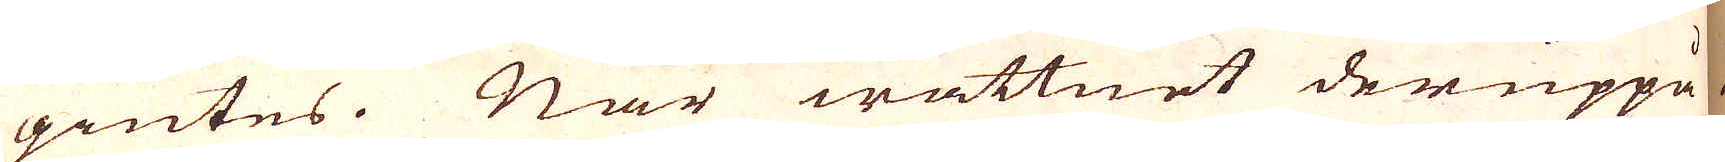giutes. När wattnet deruppå
